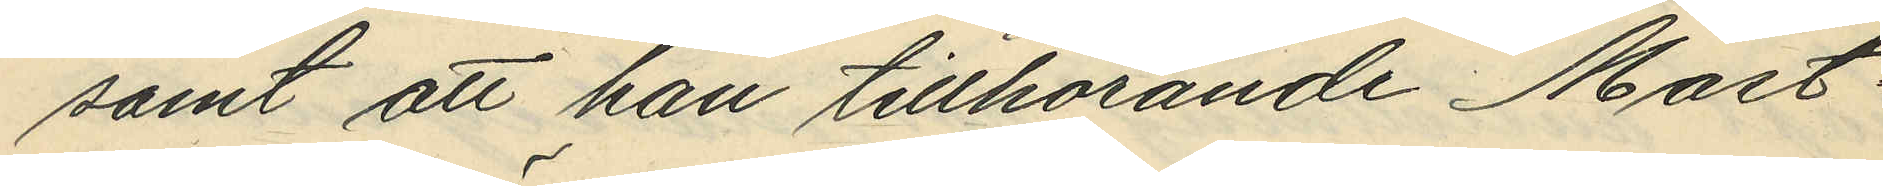samt att han tillhörande Mast¬
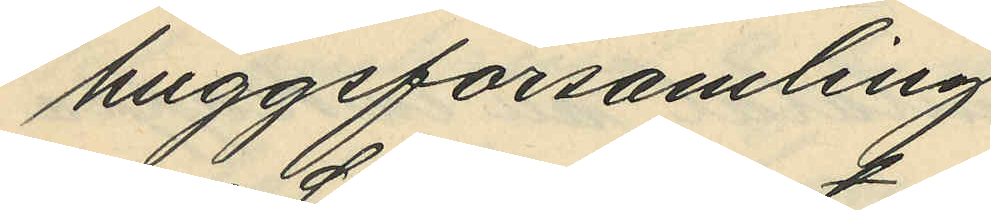huggsförsamling;
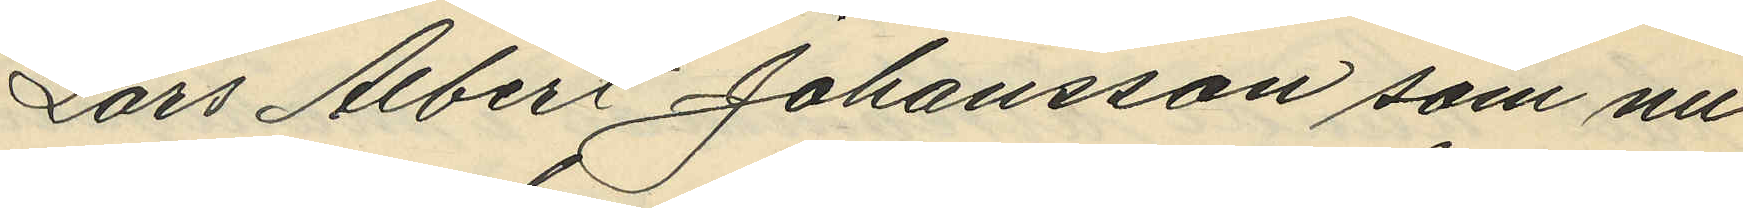Lars Albert Johansson som nu
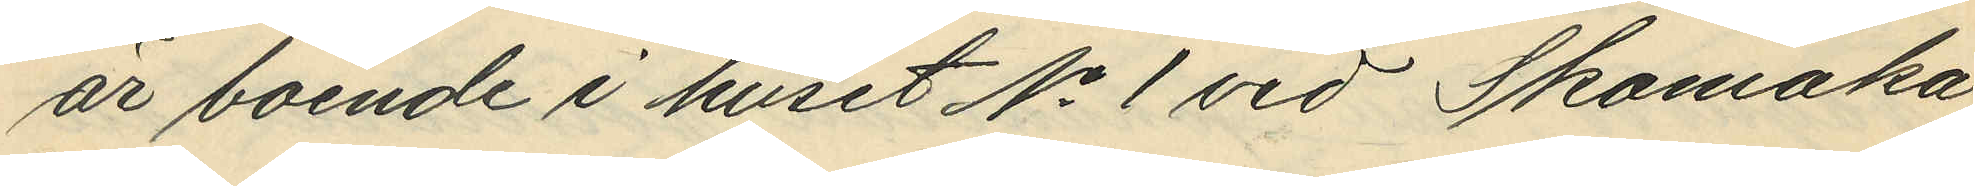är boende i huset No 1 vid Skomaka¬
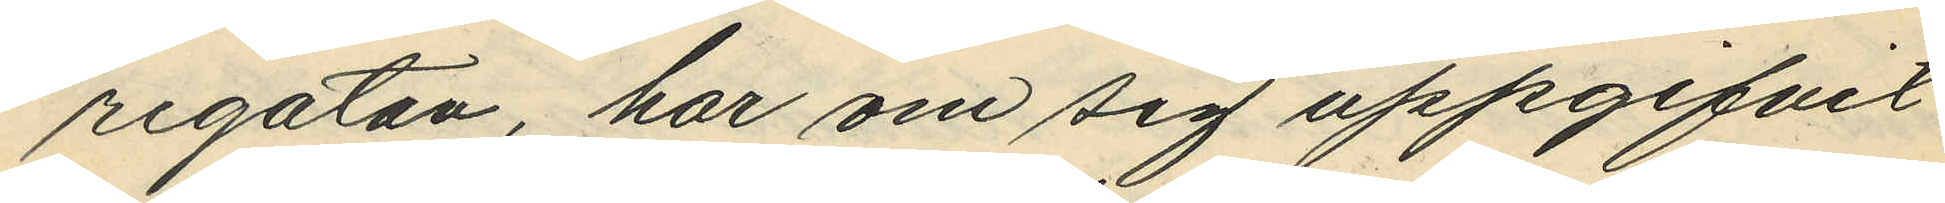regatan, har om sig uppgifvit
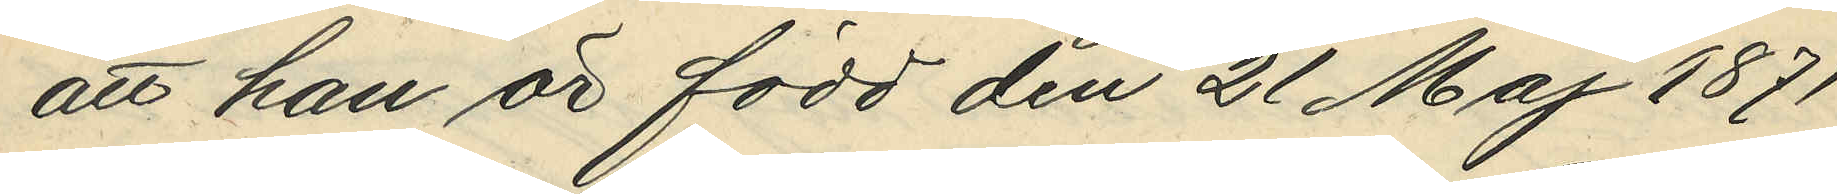att är född den 21 Maj 1871
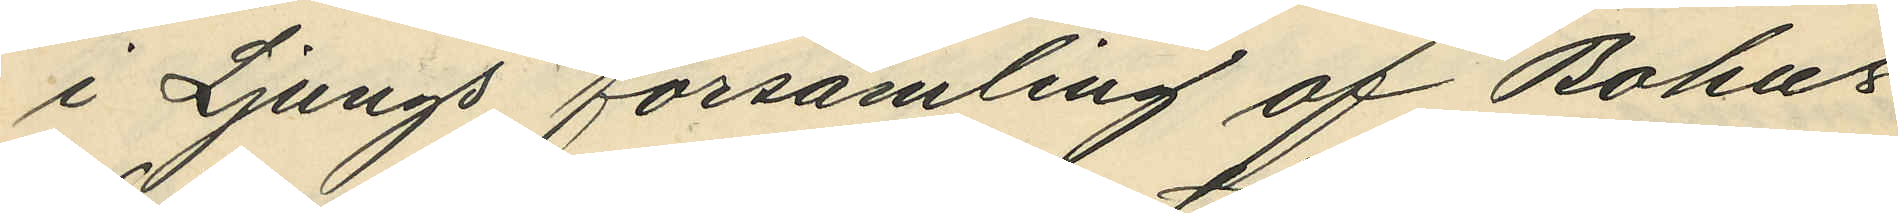i Ljungs församling af Bohus
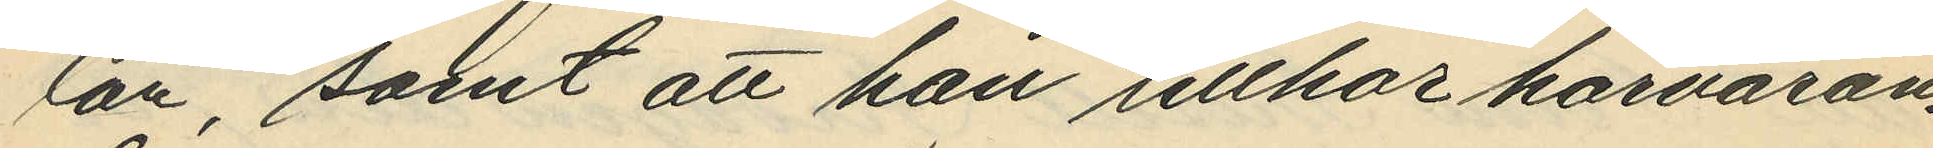län, samt att han tillhör härvaran¬
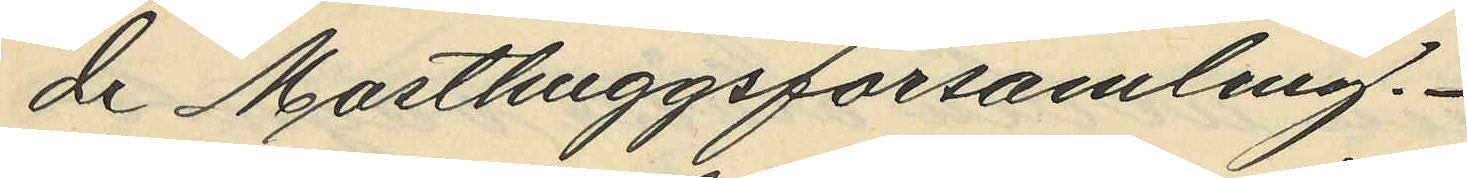de Masthuggsförsamling.
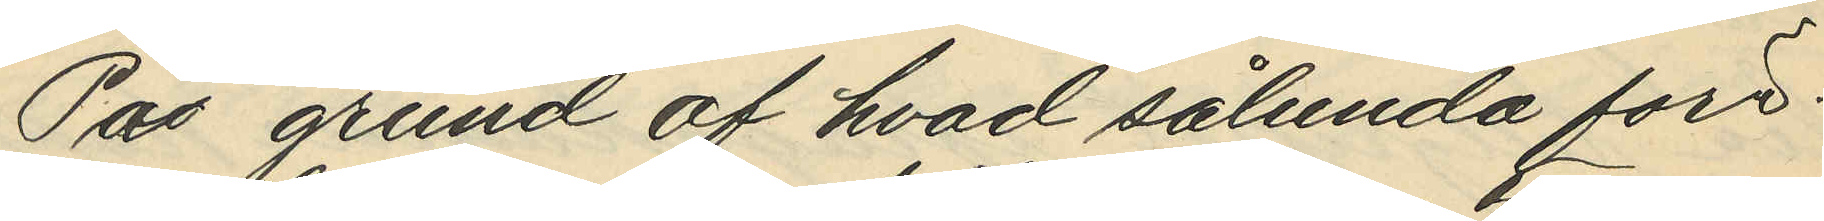På grund av hvad sålunda före¬
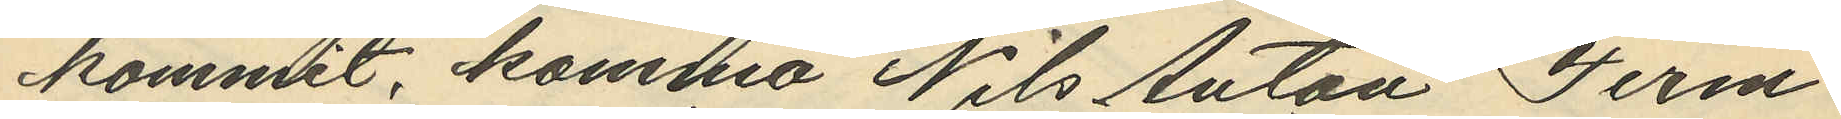kommit, komma Nils Anton Ferm-
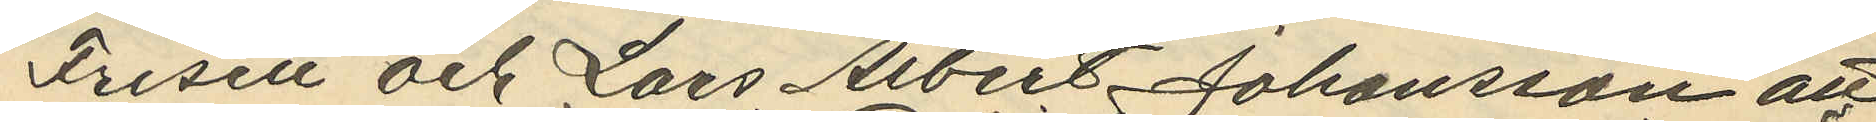Frisell och Lars Albert Johansson att
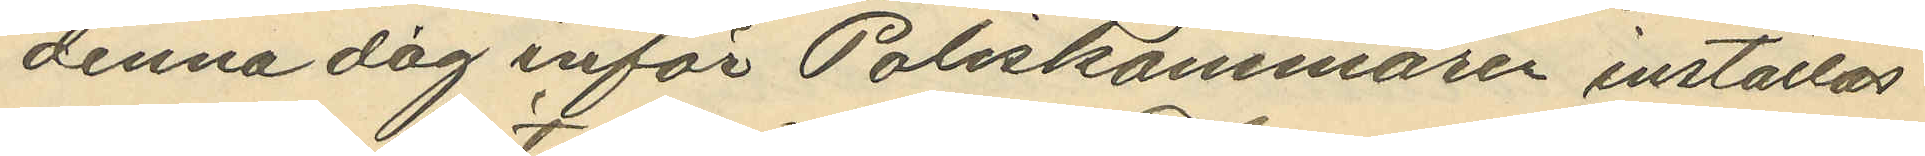denna dag inför Poliskammaren inställas.
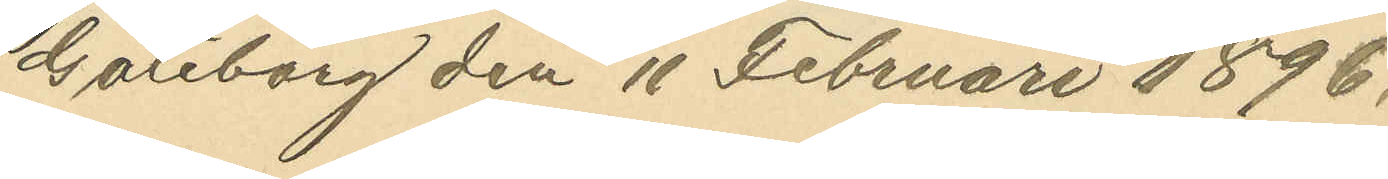Göteborg den 11 Februari 1896.
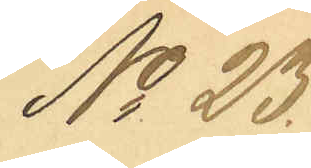No 23
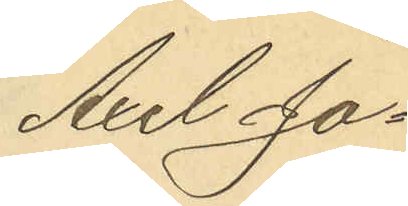Axel Jo¬
